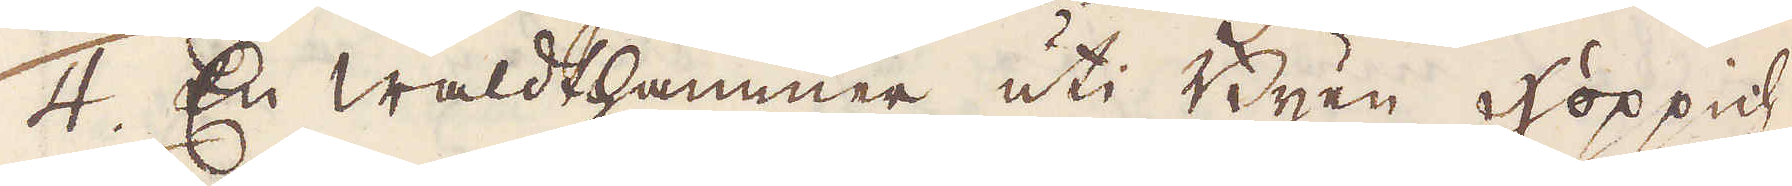4. En Waldthammer uti Byen Hoppich.
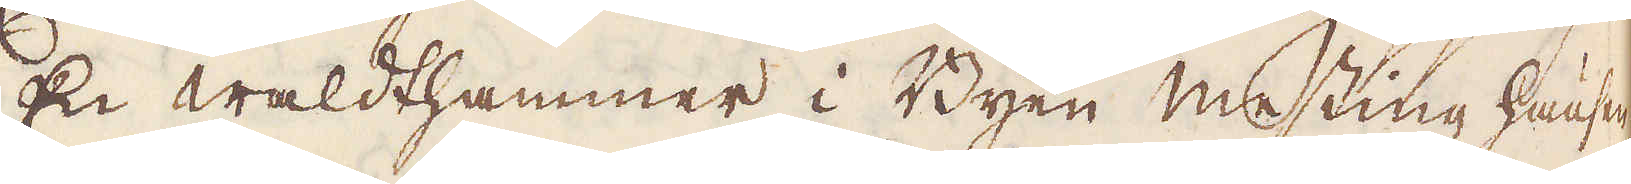5. En Waldthammer i Byen Messing hausen
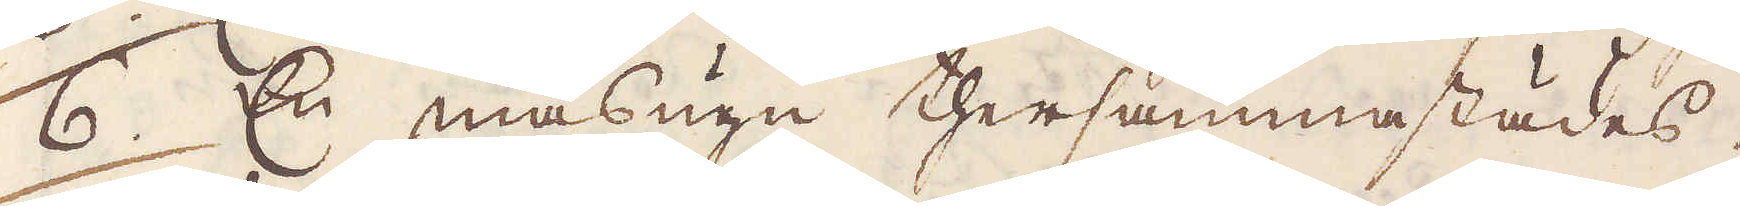6. En masugn thersammastädes.
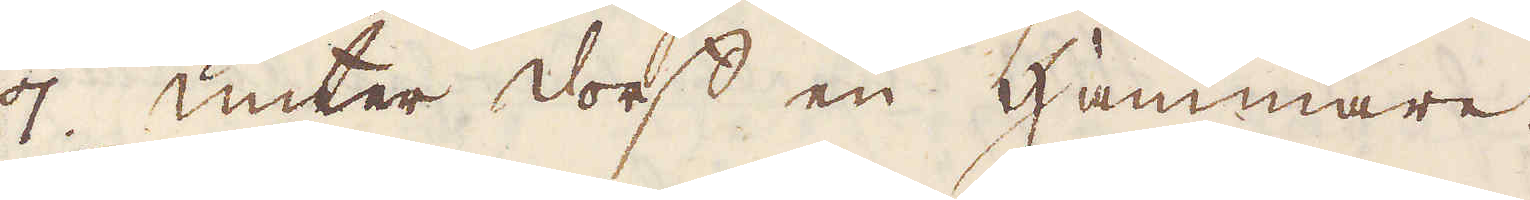7. unter dorff en Hammare.
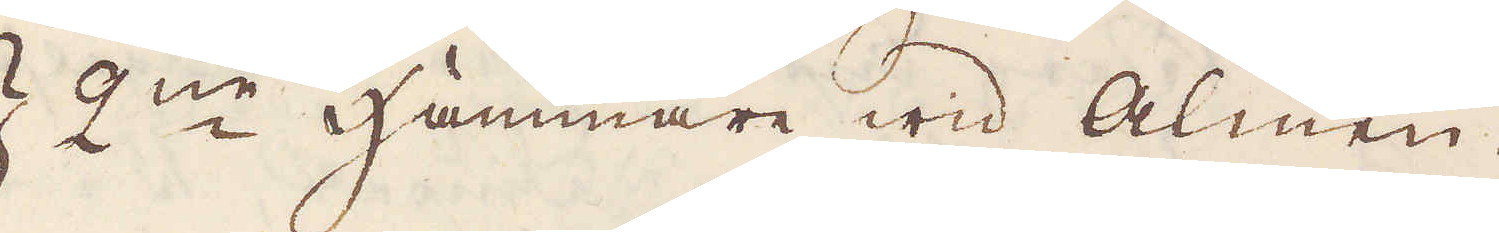8/9 2:ne Hammare wid Almen.
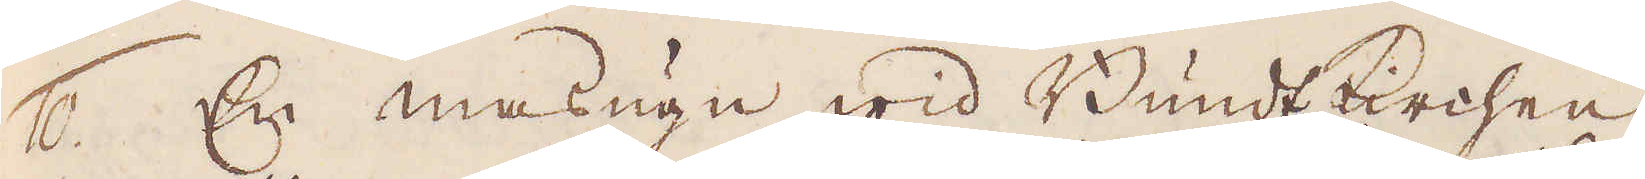10. En masugn wid Bundt Kerchen
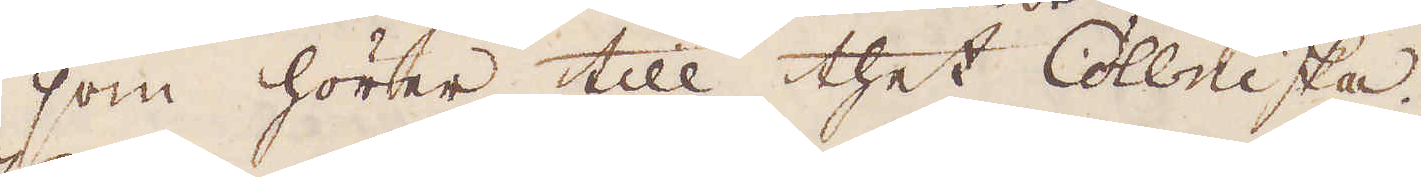som hörer till thet Collniska.
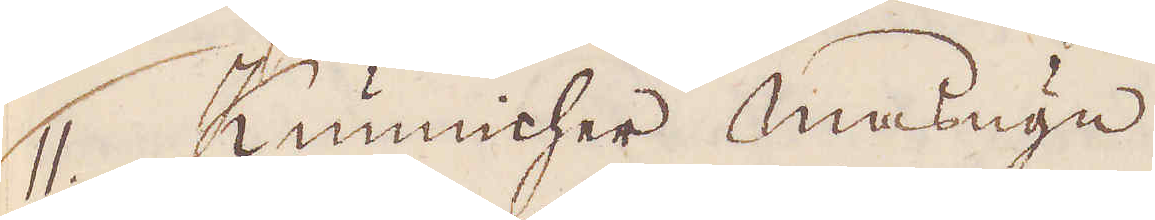11. Kunnicher masugn
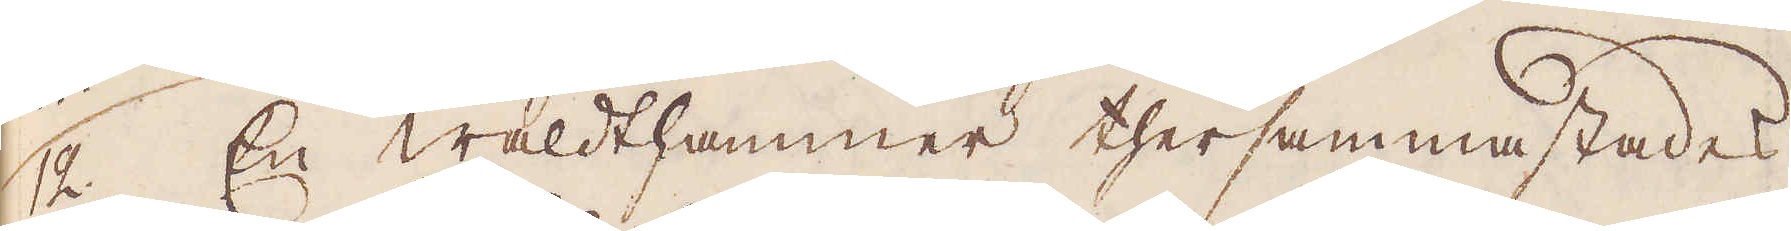12. En Walthammer thersammastades
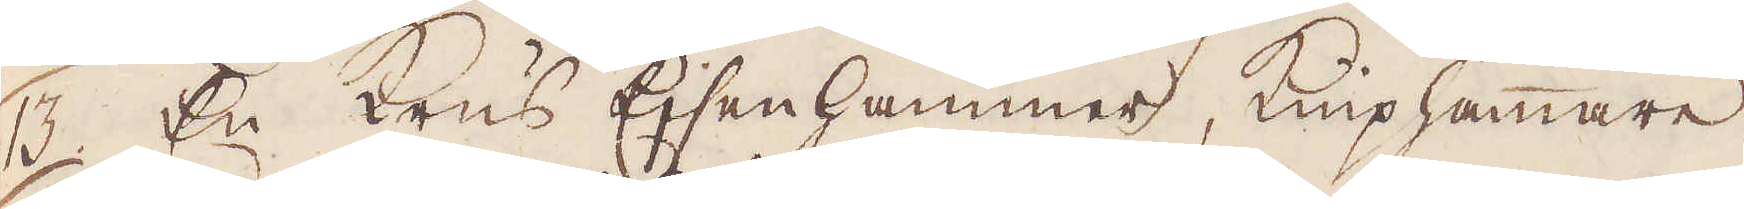13. En Krus Ejsenhammer, kniphammare,
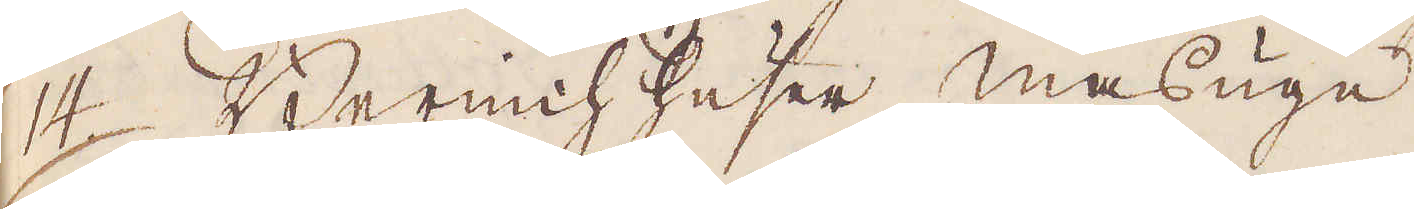14. Berimchhuser masugn.
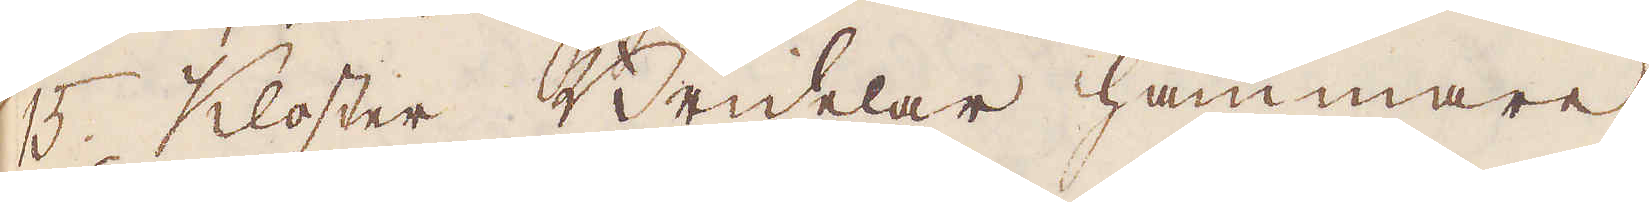15. Kloster Bridelar hammare
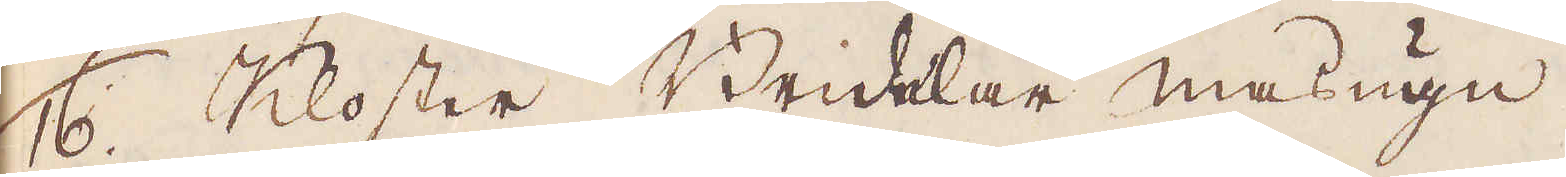16. Kloster Bridelar masugn.
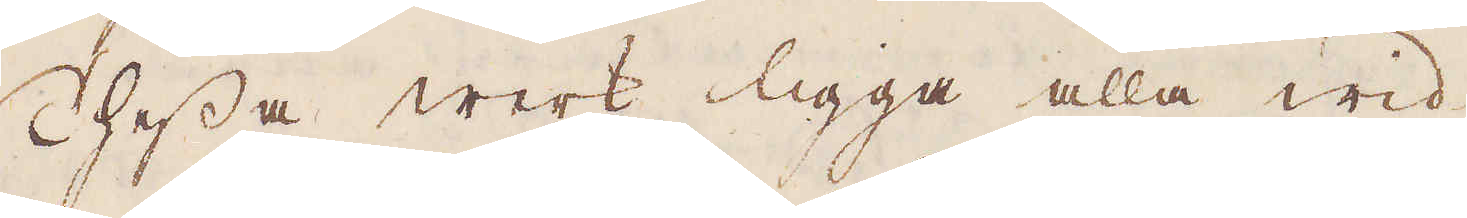Thessa werk ligga alla wid
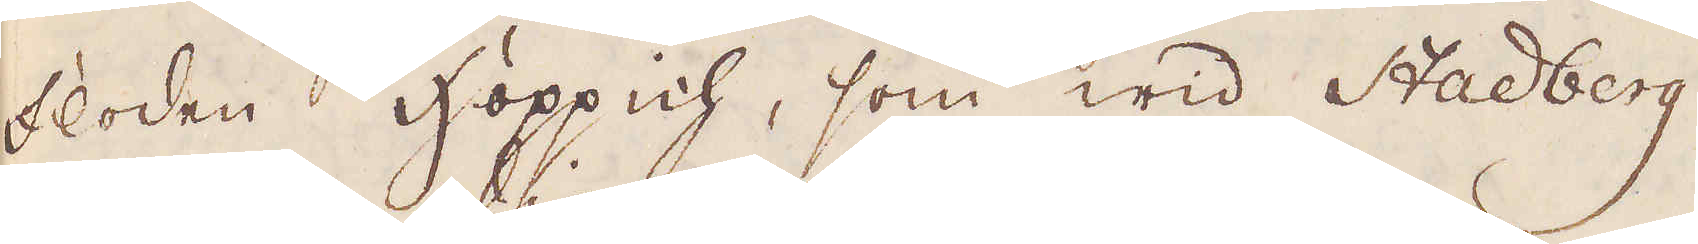floden Hoppich, som wid Stadberg
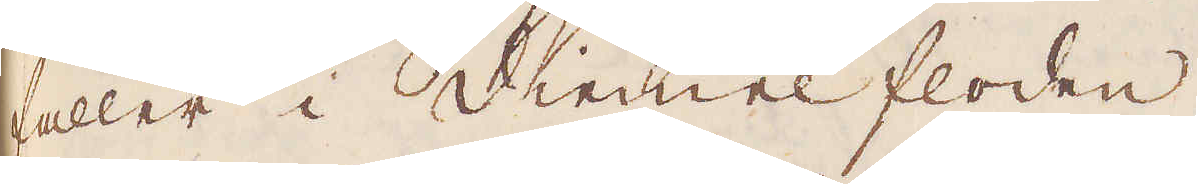faller i Diemel floden.
